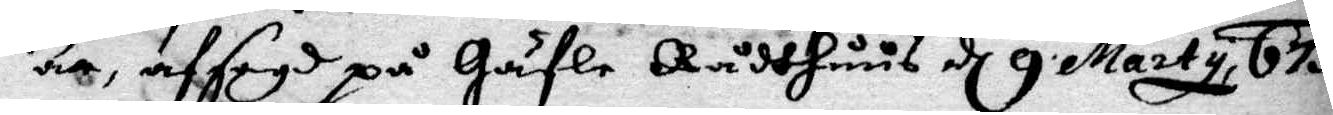är, afsagd på Gäfle Rådhhuus d 9 Marty 675.
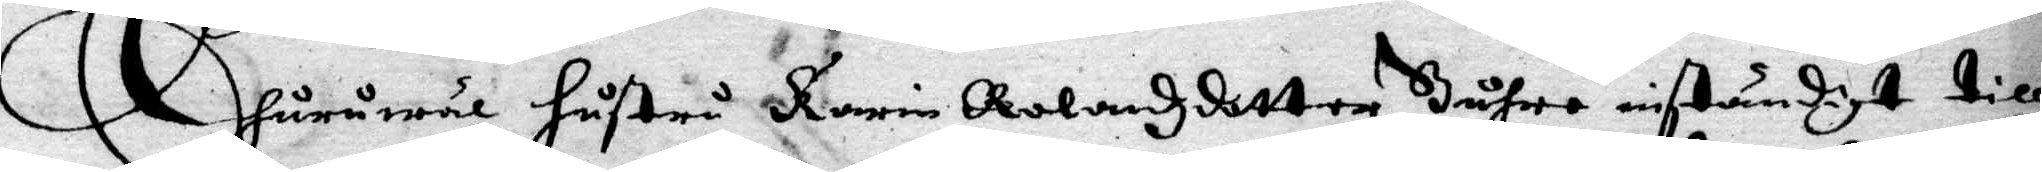Ehuruwäl hustru Karin Rolandszdotter Buhre inständigt till
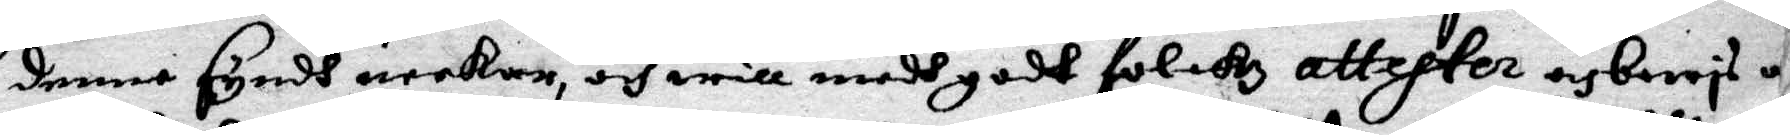denne Syndh neekar, och will medh godt folckz attester  och bewis
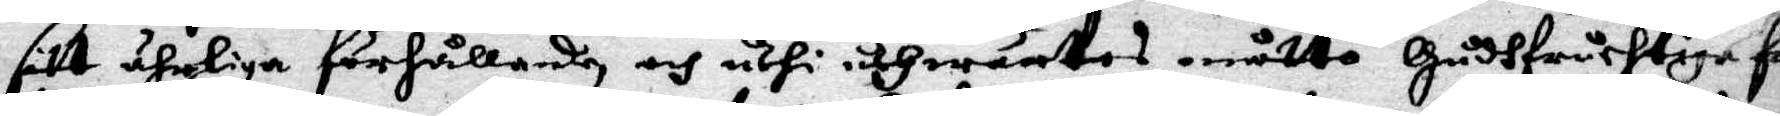sitt ähriga förhållande, och uthi uthwärtes måtto Gudhfruchtiga fam¬
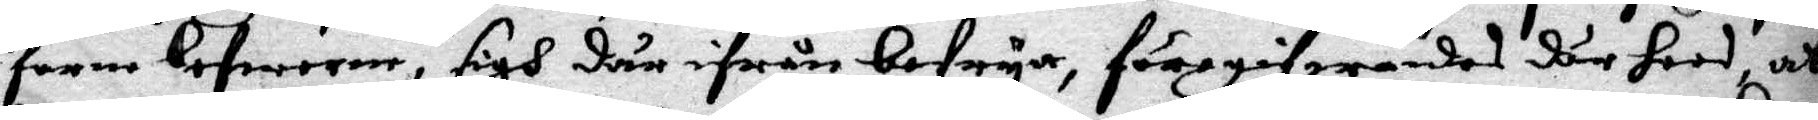farne lefwerne, sigh där ifrån befrya, föregifwandes där hoos, att
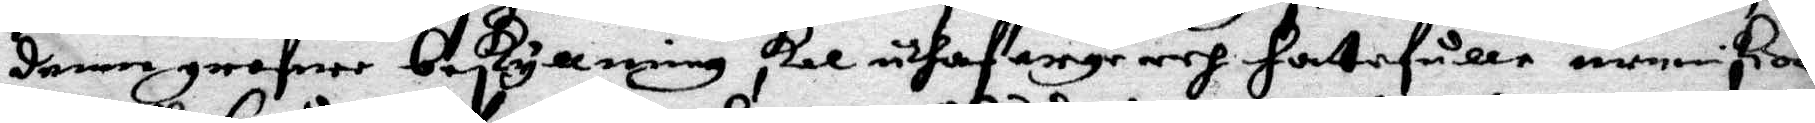denne grofwe beskyllning skal uthaf arge och hatefulle meniskior
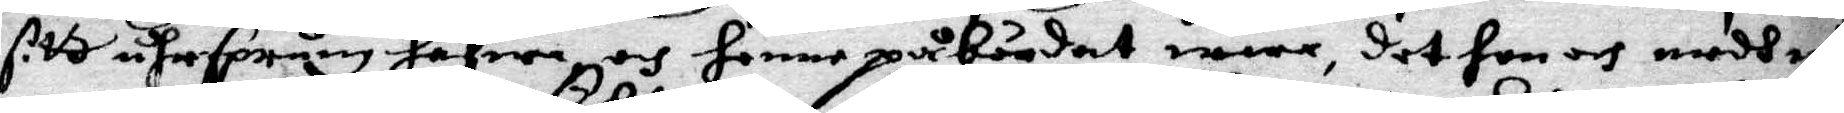sitt uhrsprung hafwa och henne påbördat wara, det hon och medh nå¬
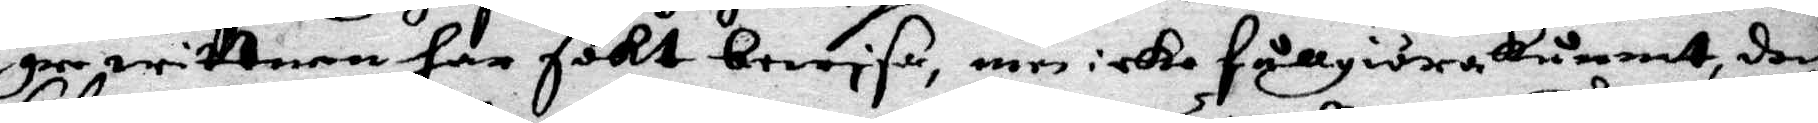gre wittnen har söisa, men icke fullgiöra kunnat, doch
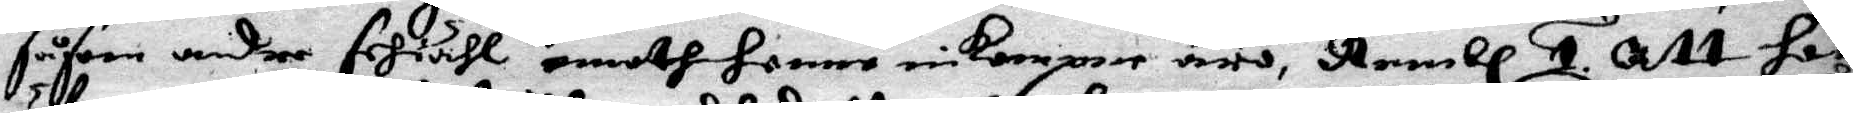såsom andre sehiähl emoth henne inkompne äro, Nembl 1. Att hon
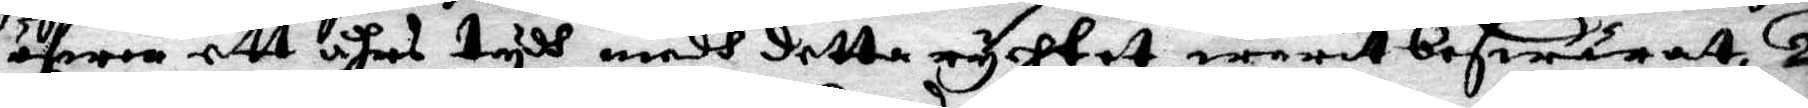öfwer ett åhrs tydh medh detta rychtet warit beswäratt, 2.
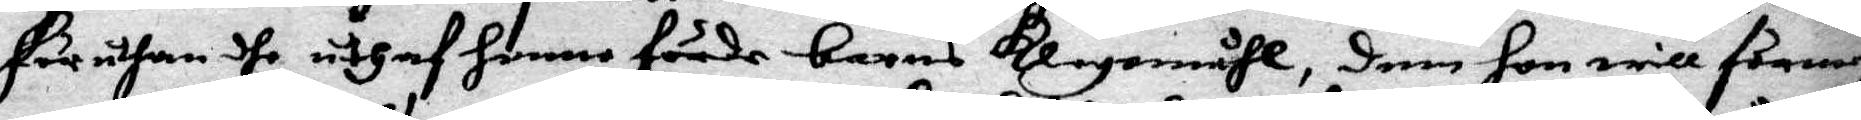här uthan dhe uthaf henne förde barns klagomåhl, dem hon will förmeh¬
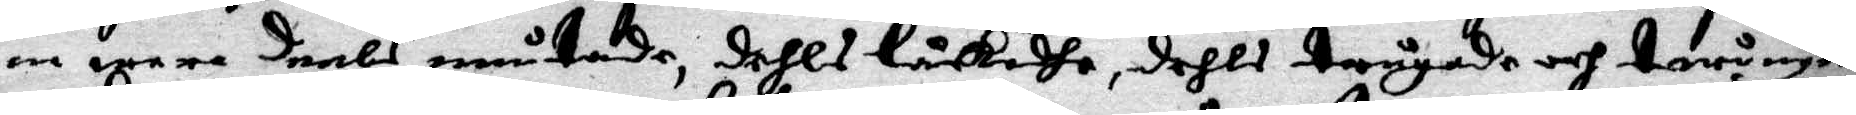na wara deels mutade, dehls låckadhe, dehls trugade och twingade
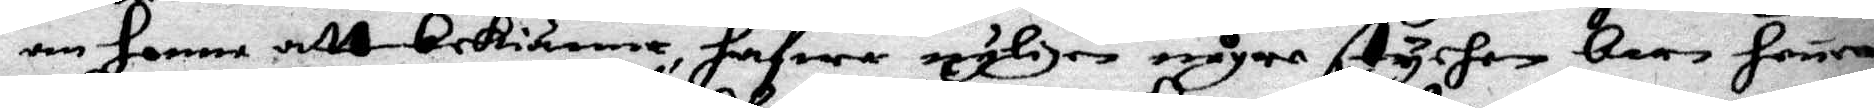en henne att bekienna, hafwa nyligen någre stycken barn henne
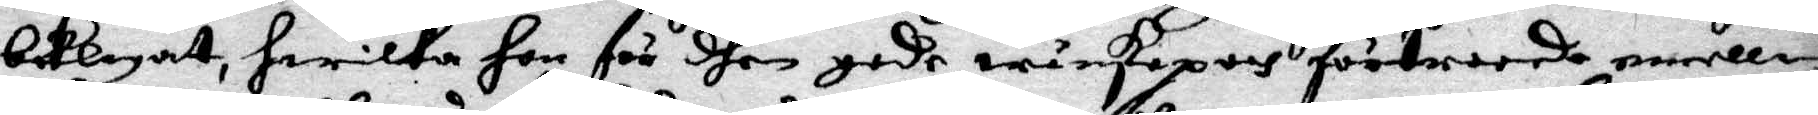beklagat, hwilka hon för dhen gode wänskapens förtroode emellan
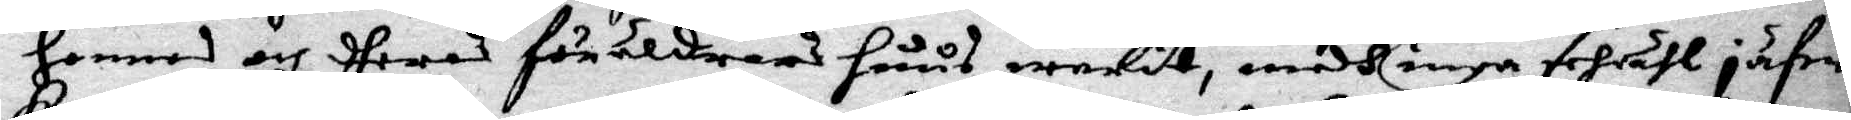hennes och theras föräldrars huus warit, medh inga sehiähl jäfwa
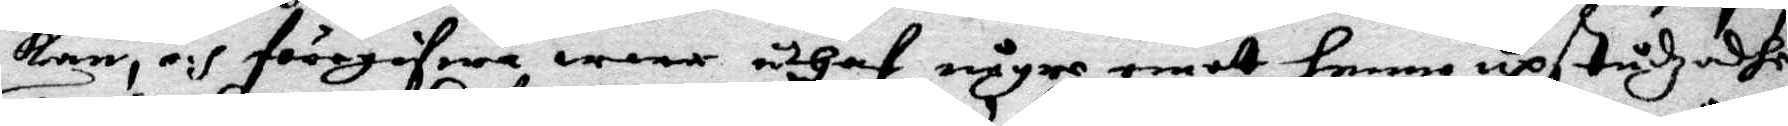kan, och föregifwa wara uthaf någre emot henne upstudzadhe
